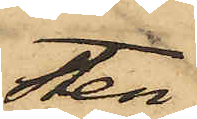Sten¬
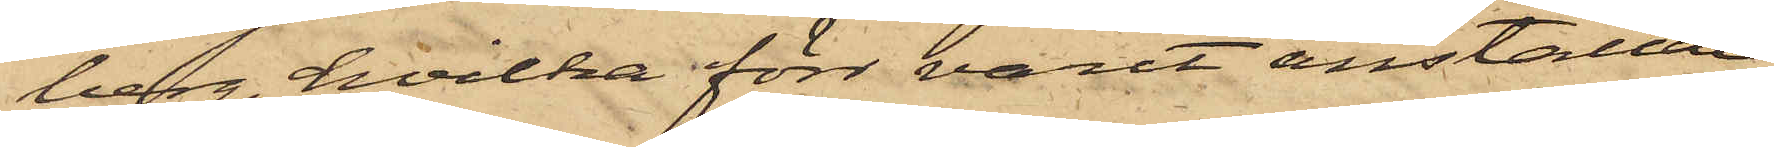berg, hvilka förr varit anställde
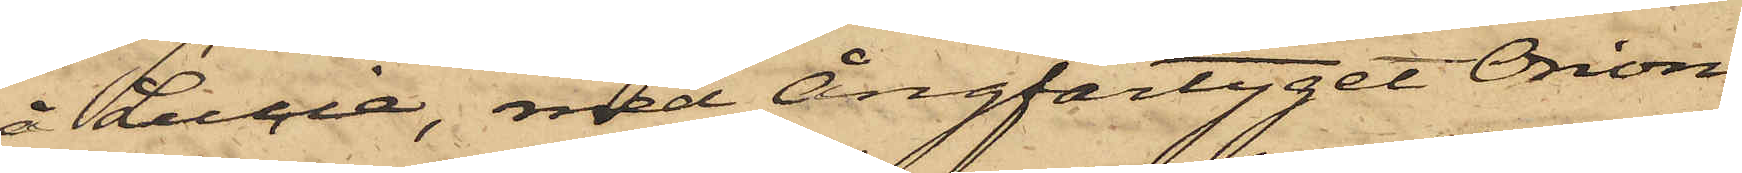å Lucie, med Ångfartyget Orion
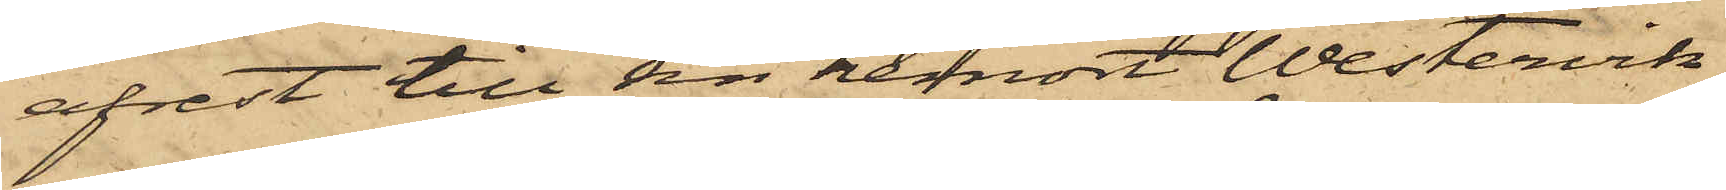afrest till sin hemort Westervik,
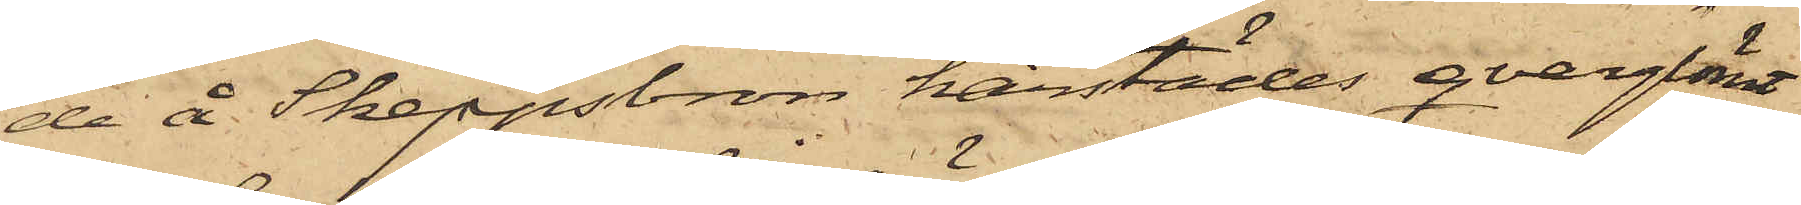de å Skeppsbron härstädes qvarglömt
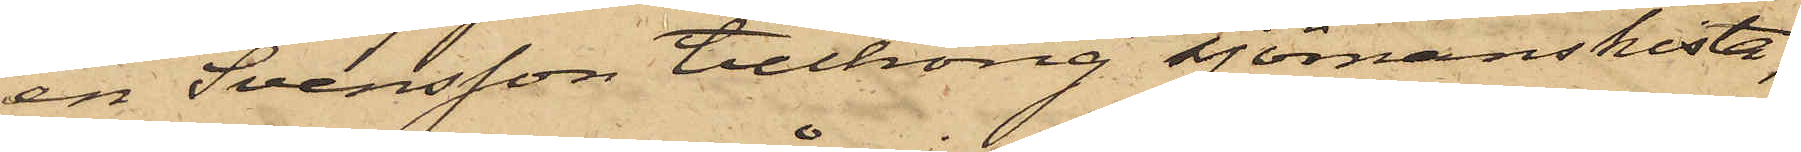en Svensson tillhörig sjömanskista,
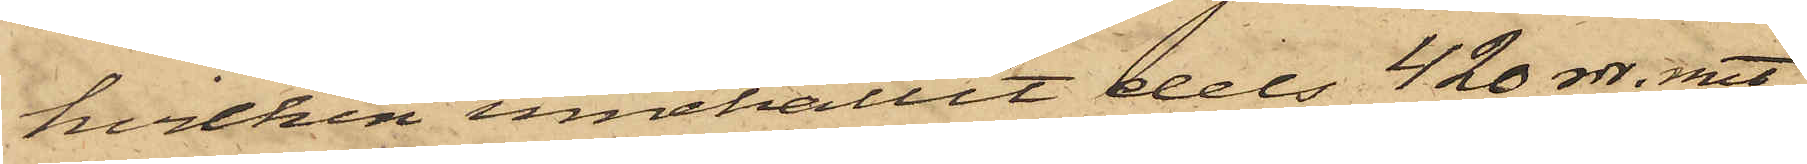hvilken innehållit dels 420 rdr. rmt
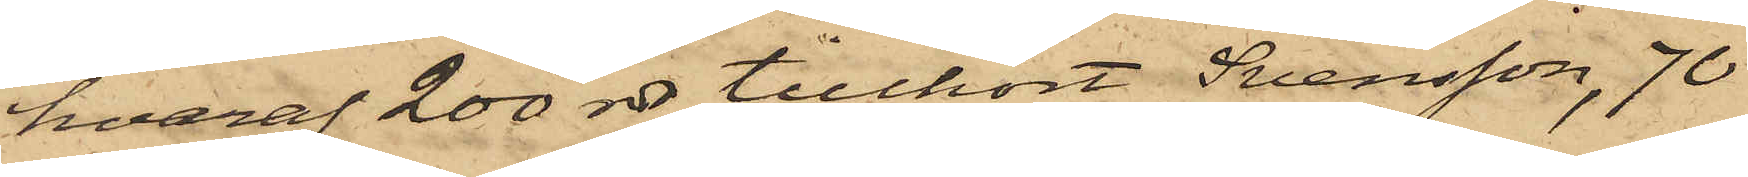hvaraf 200 rdr tillhört Svensson, 70
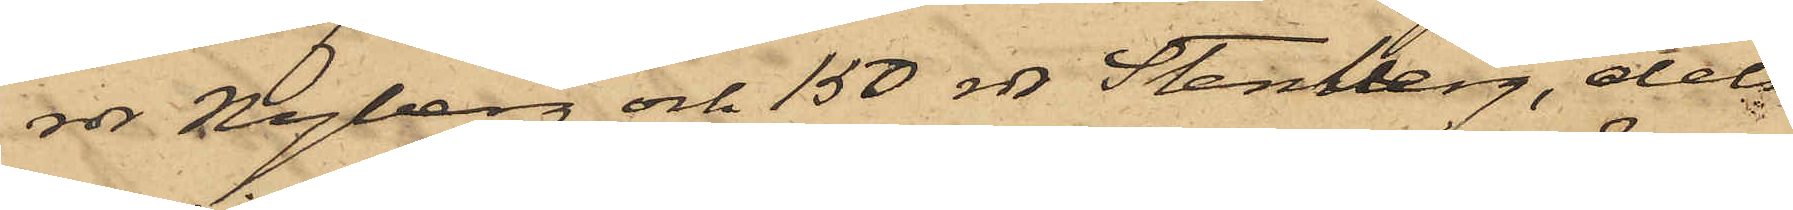rdr Nyberg och 150 rdr Stenberg, dels
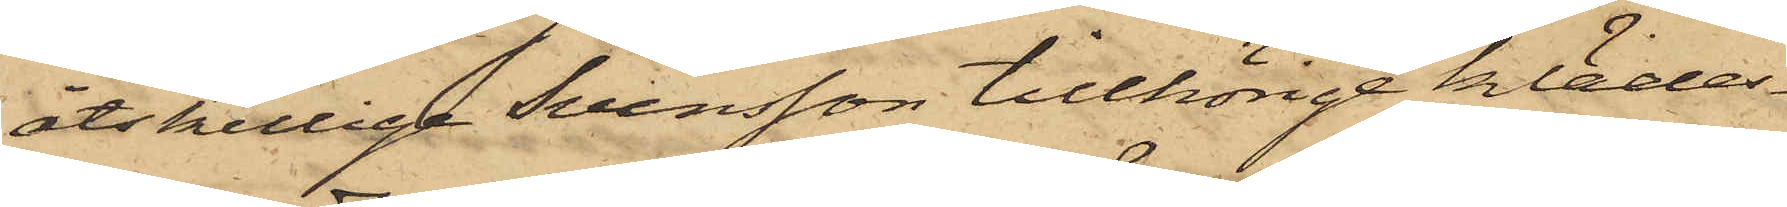åtskillige Svensson tillhörige klädes¬
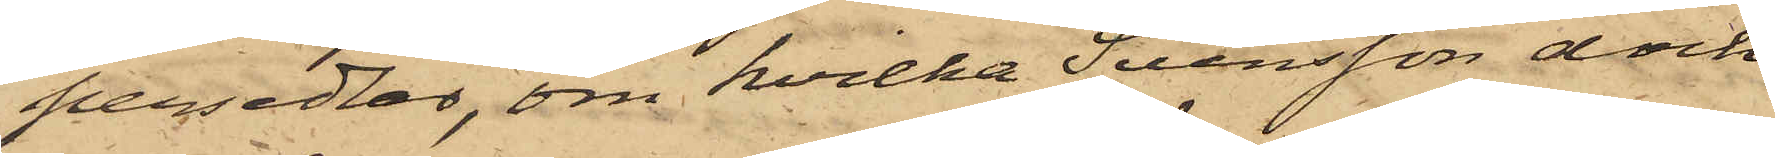persedlar, om hvilka Svensson dock
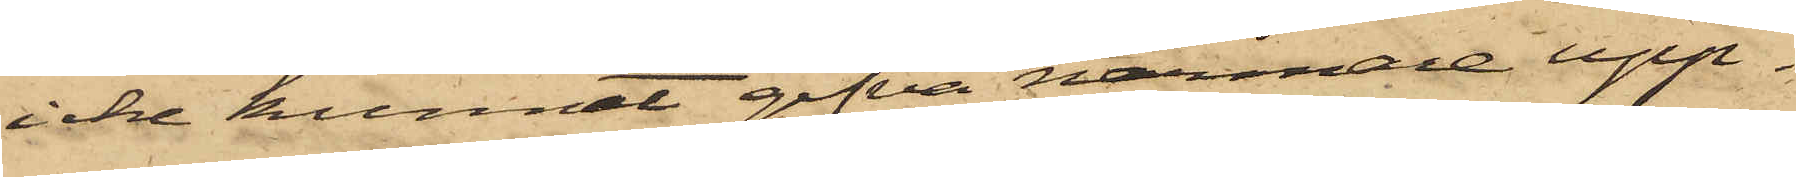icke kunnat gifva närmare upp¬
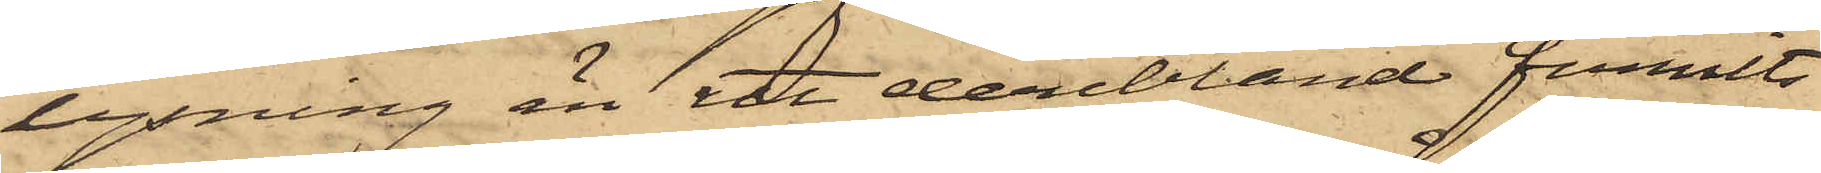lysning än att deribland funnits
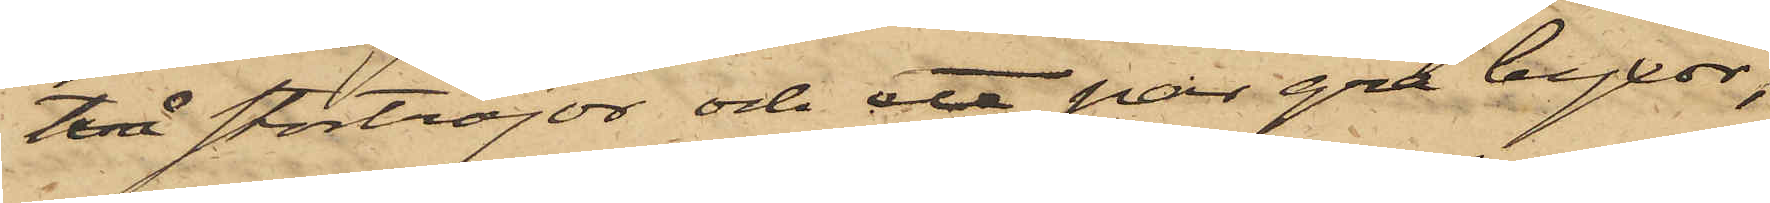två stortröjor och ett par grå byxor,
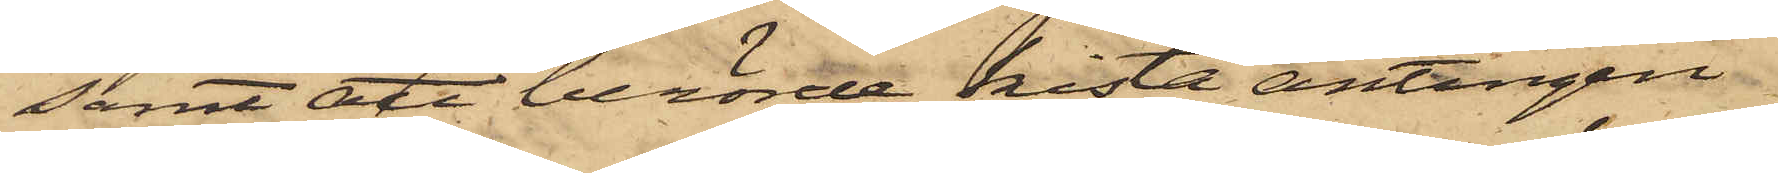samt att berörde kista antingen
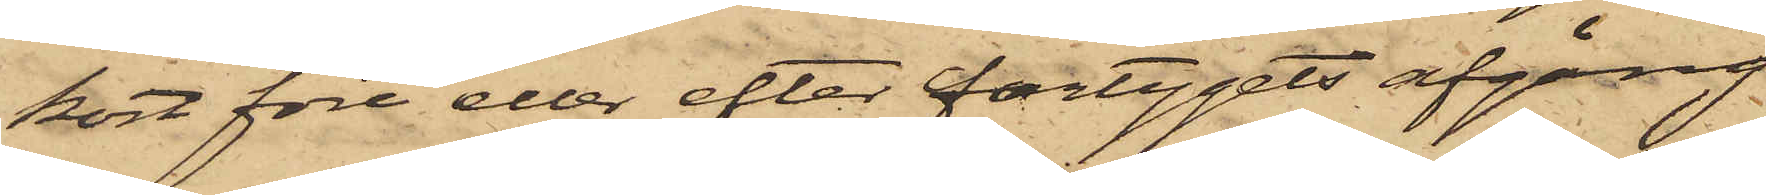kort före eller efter fartygets afgång
